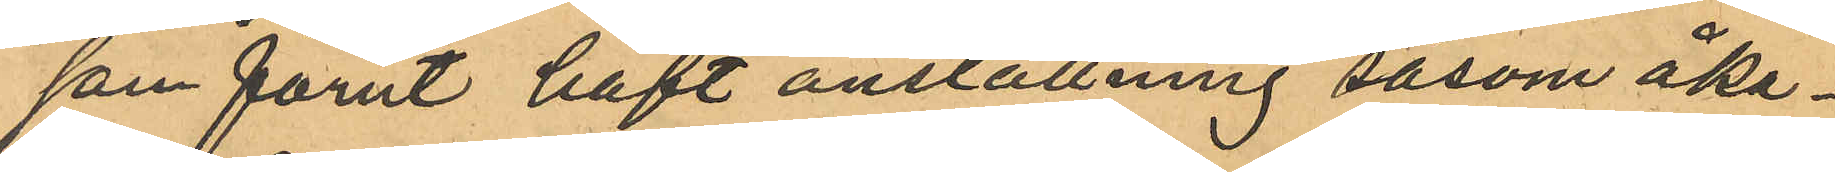som förut haft anställning såsom åka¬
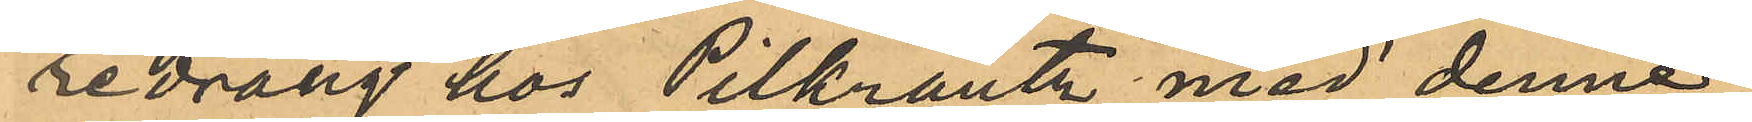redräng hos Pilkrantz med denne
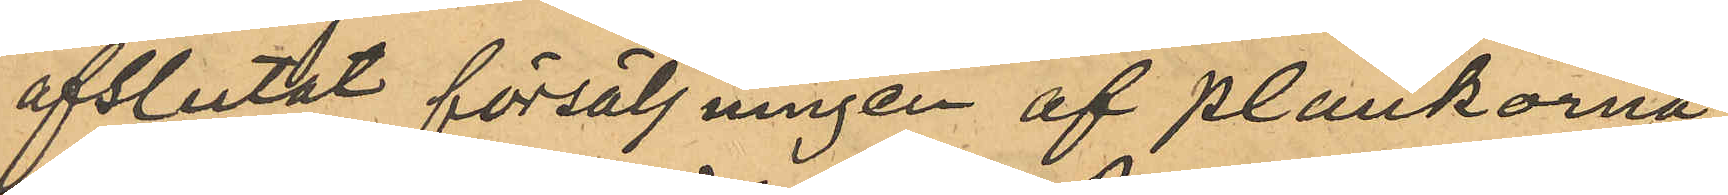afslutat försäljningen af plankorna
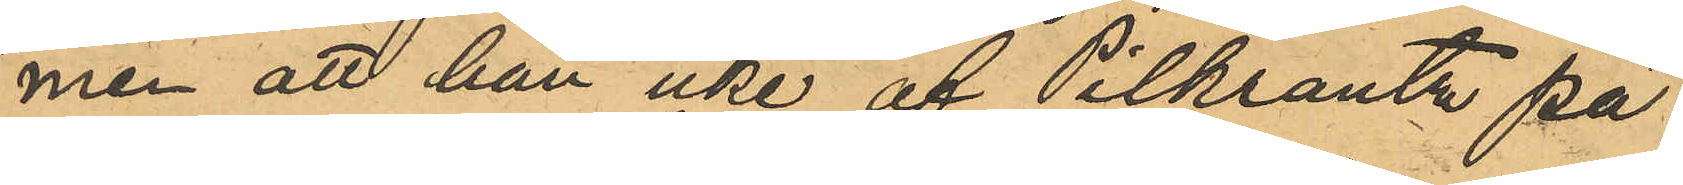men att han icke af Pilksantz på
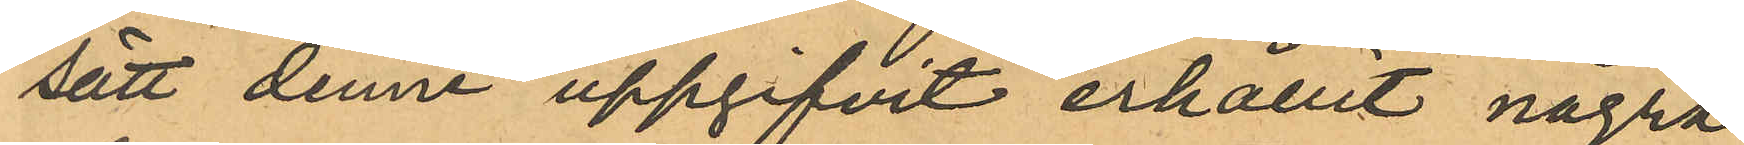sätt denne uppgifvit erhållit några
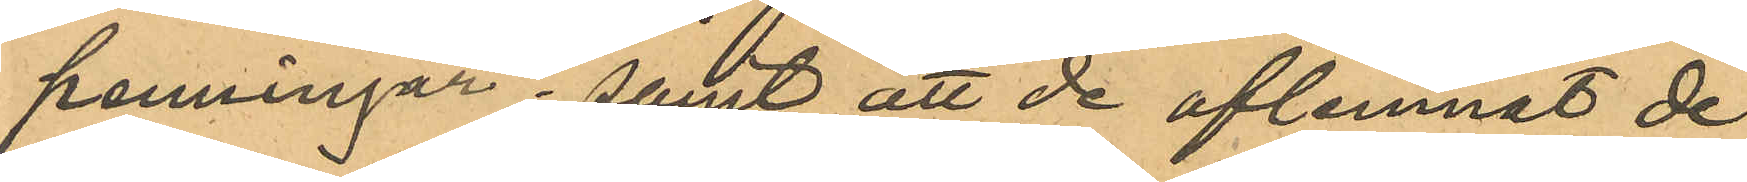penningar; samt att de aflemnat de
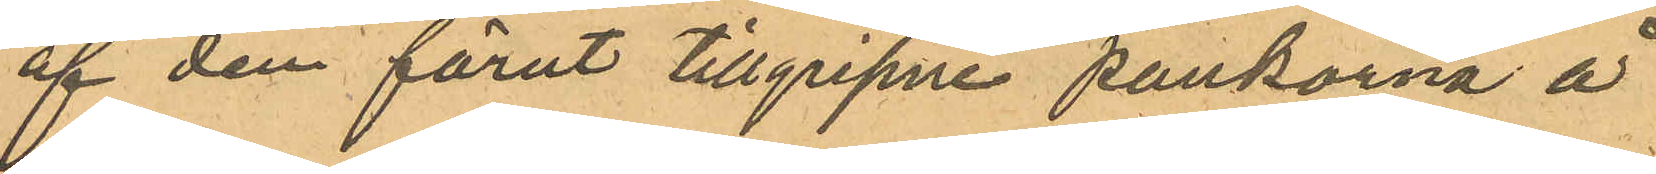af den förut tillgripne pankorna å
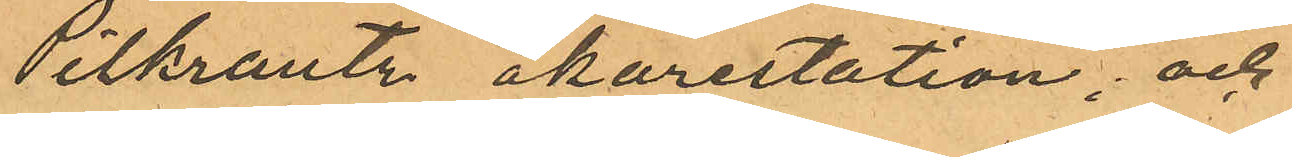Pilkrantz åkarestation; och
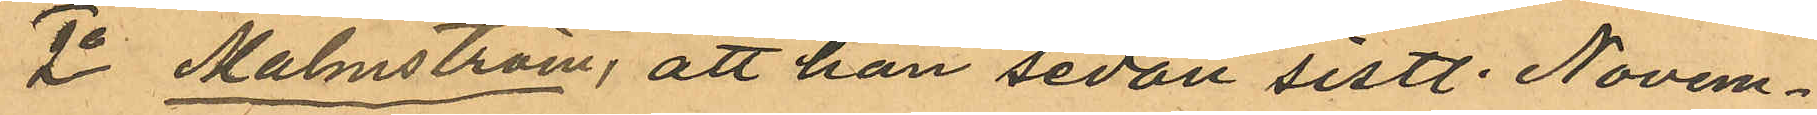2o Malmström, att han sedan sistl. Novem¬
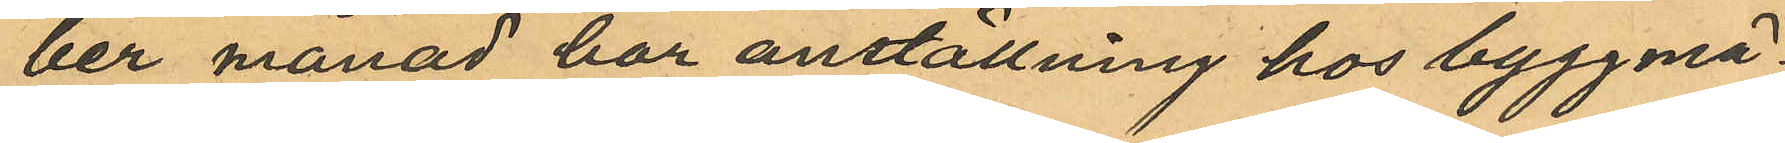ber månad har anställning hos byggmä¬
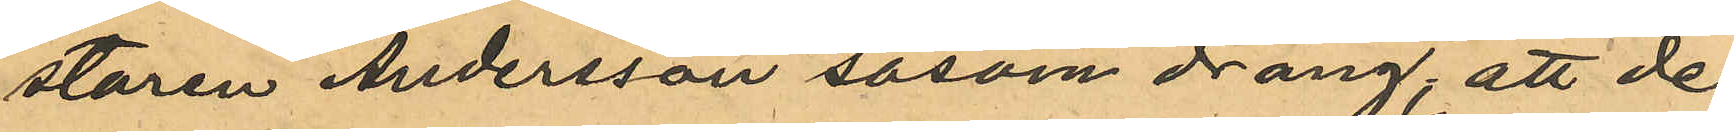staren Andersson såsom dräng; att de
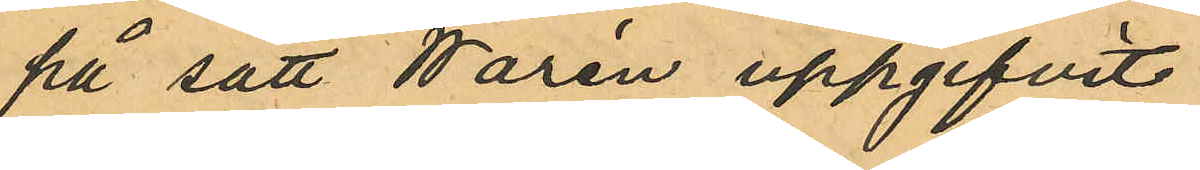på sätt Warén uppgifvit
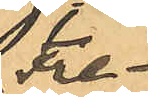Fre¬
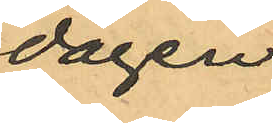dagen
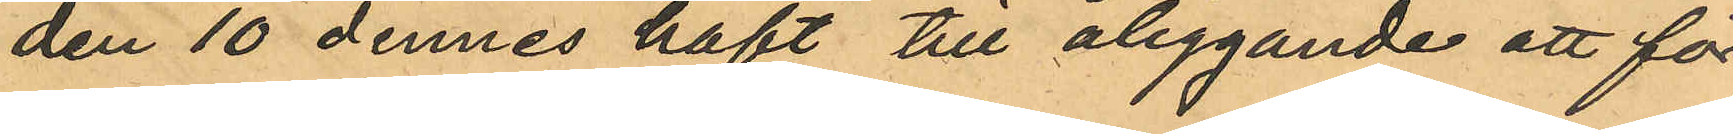den 10 dennes haft till åliggande att för
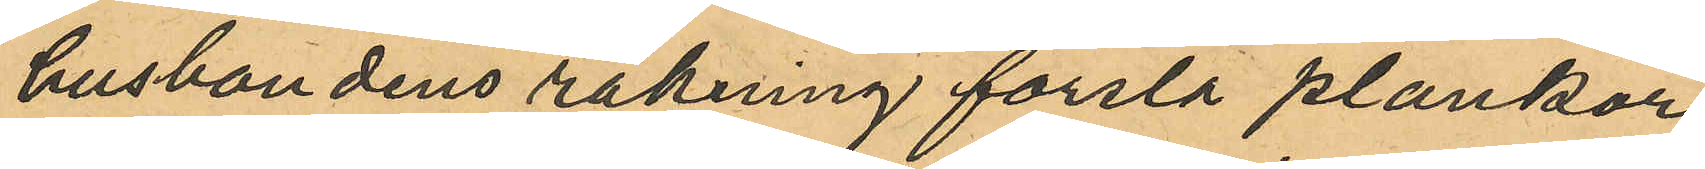husbondens räkning forsla plankor
